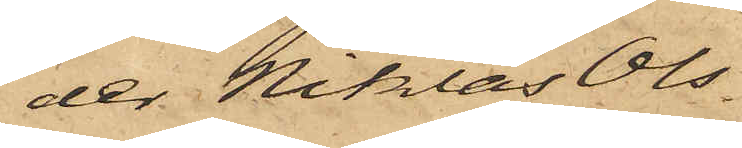der Niklas Ols¬
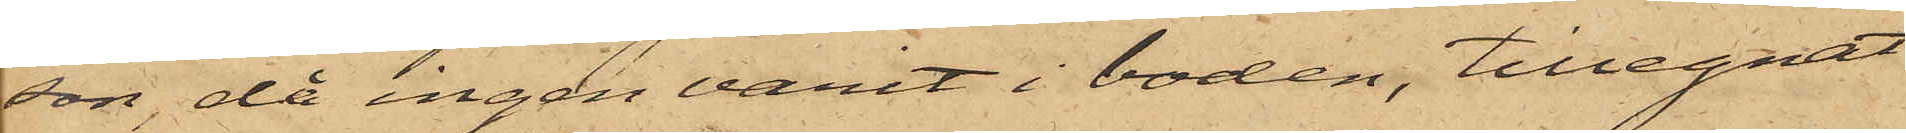son, då ingen varit i boden, tillegnat
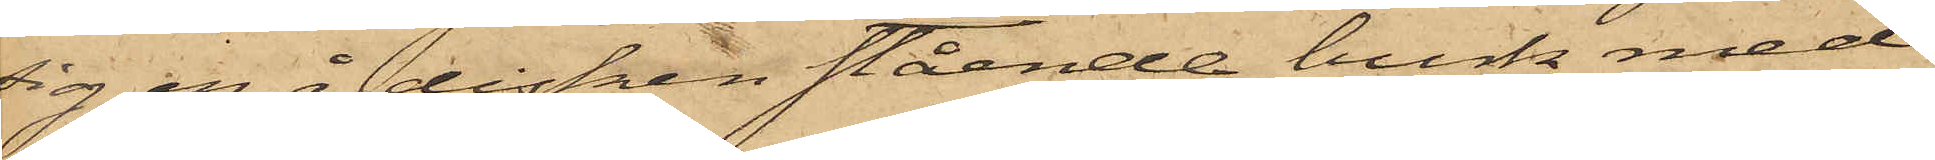sig en å disken stående burk med
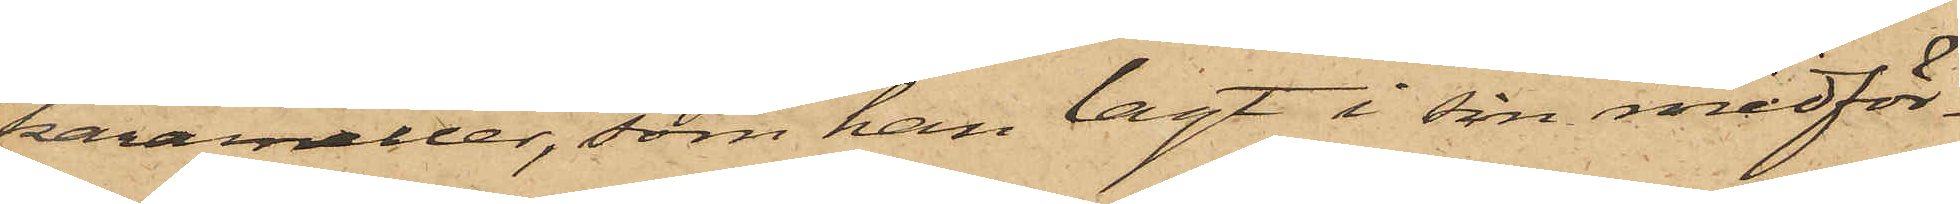karameller, som han lagt i sin medför¬
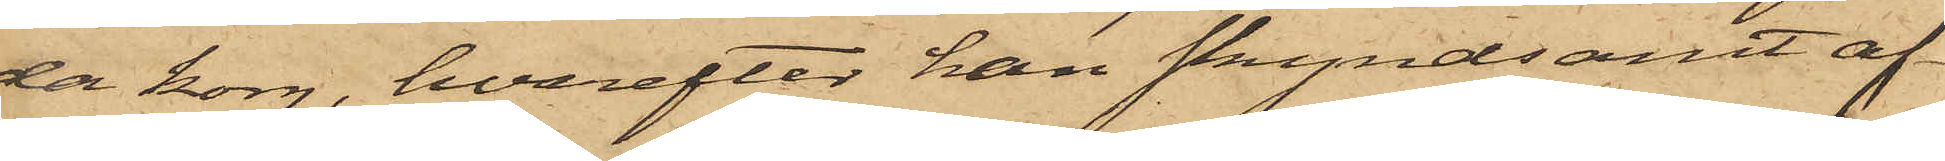da korg, hvarefter han skyndsamt af¬
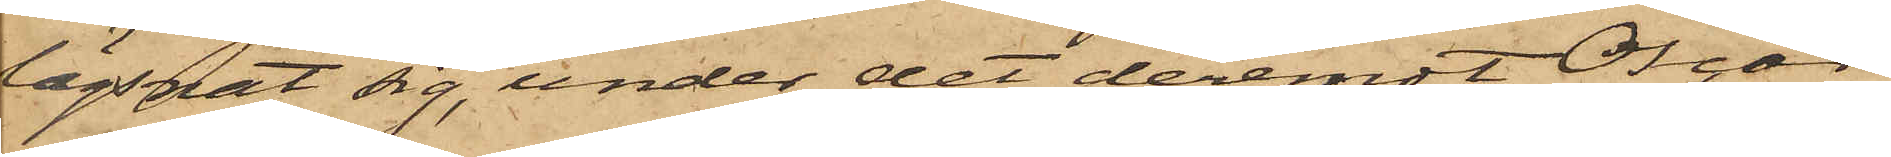lägsnat sig, under det deremot Oscar
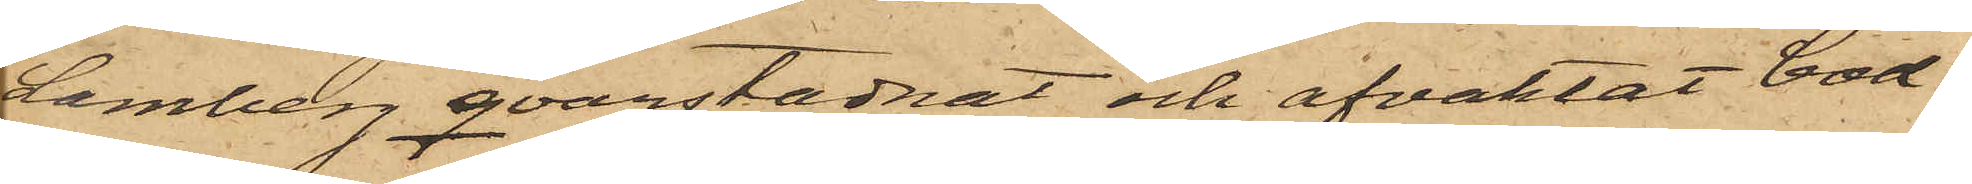Lamberg qvarstadnat och afvaktat bod¬
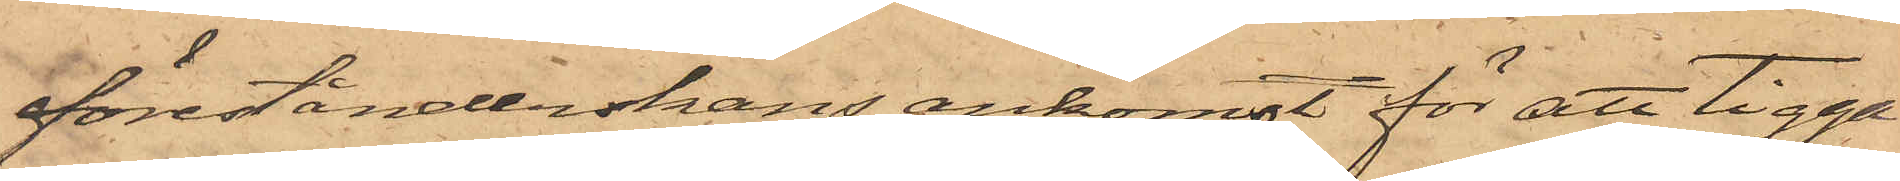förestånderskans ankomst för att tigga
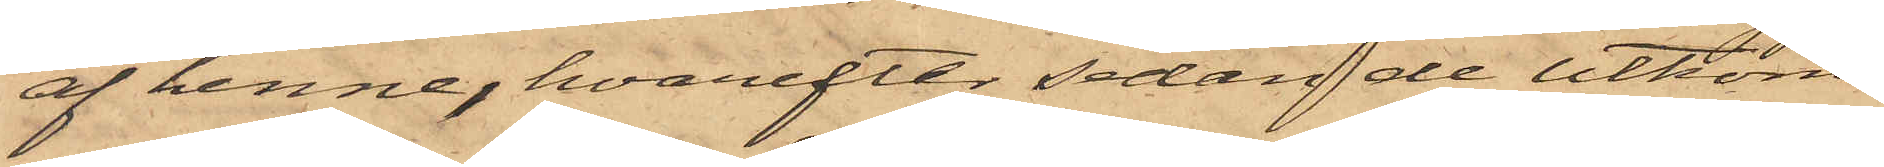af henne, hvarefter sedan de utkom¬
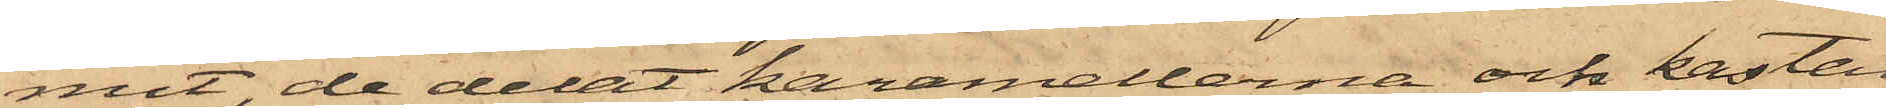mit, de delat karamellerna och kastat
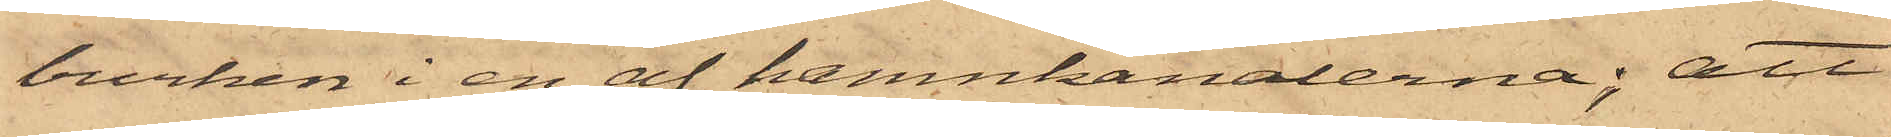burken i en af hamnkanalerna; att
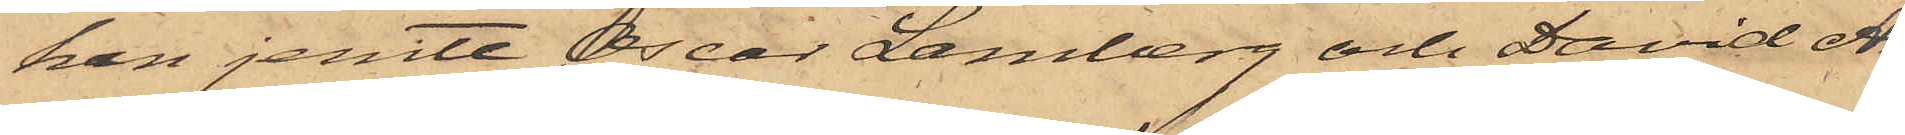han jemte Oscar Lamberg och David An¬
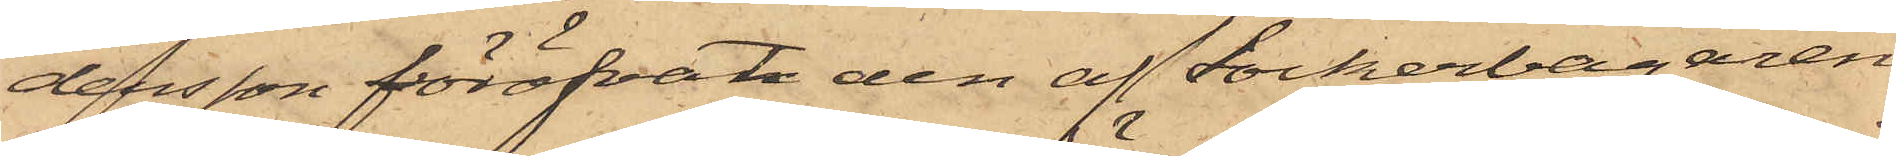dersson föröfvat den af Sockerbagaren
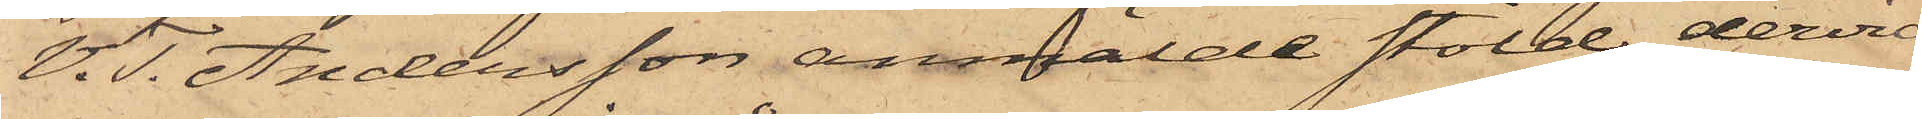V. T. Andersson anmälde stöld, dervid
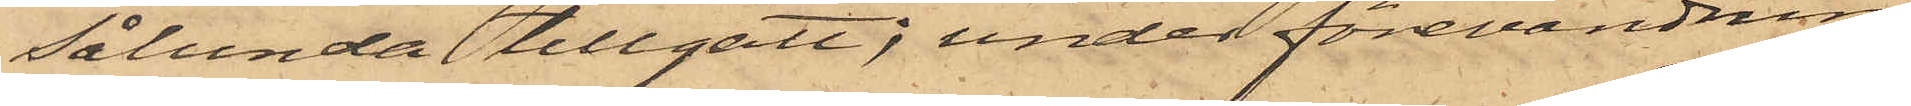sålunda tillgått; under förevändning
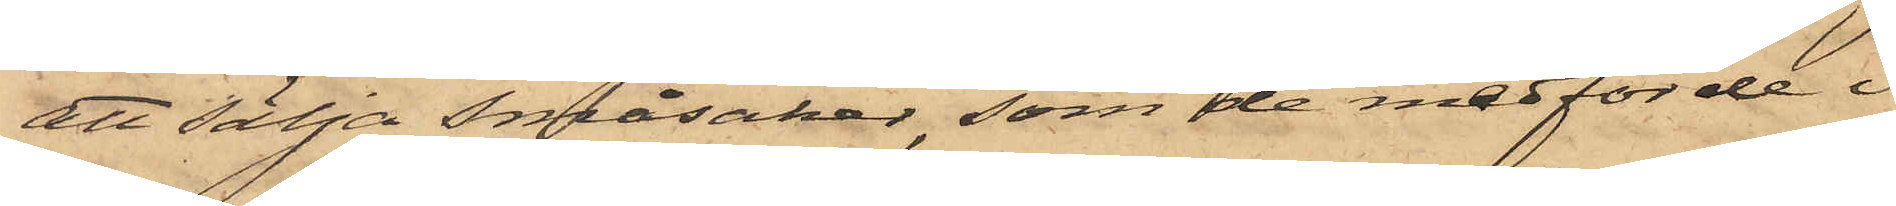att sälja småsaker, som de medförde i
